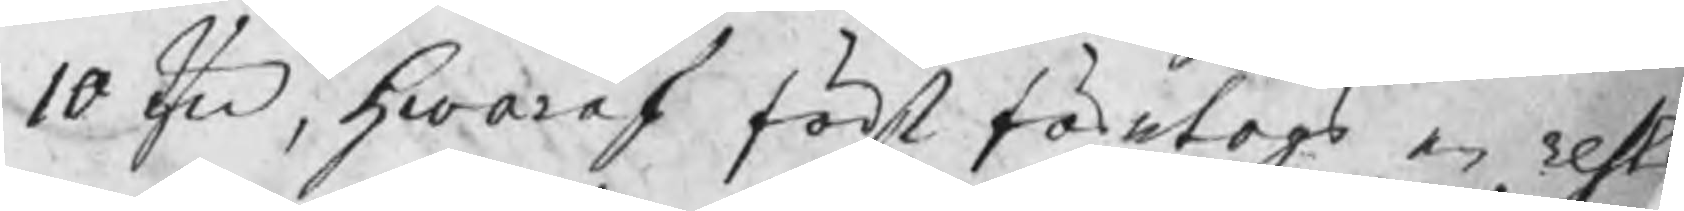10 Qv, hwaraf först företogs en reste
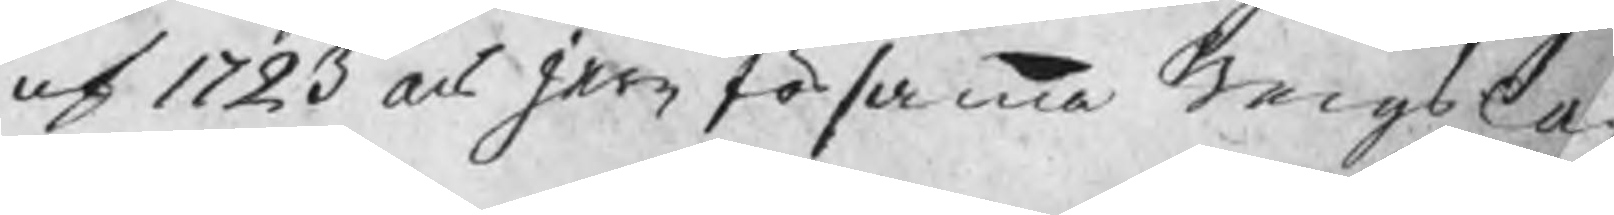af 1723 års jern för samma Bergslag
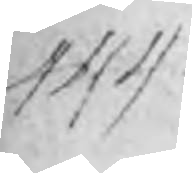444
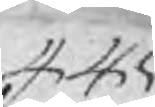445
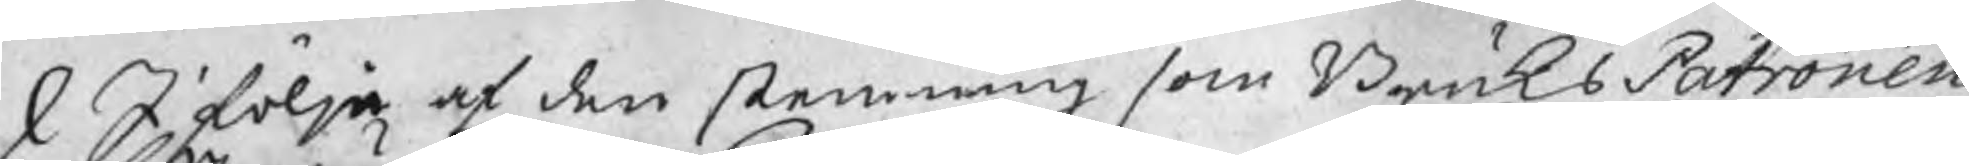I följe af den stemning som BruksPatronen
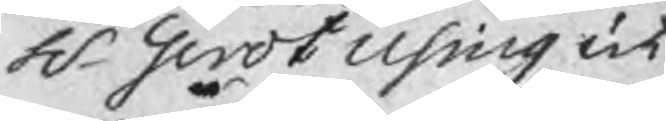H. Gerdt Using ut
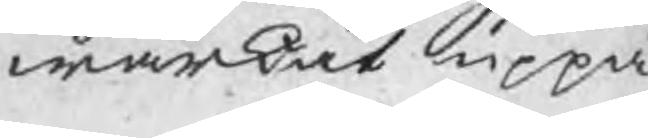wärkat uppå
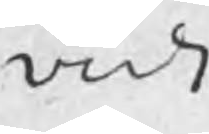vidi
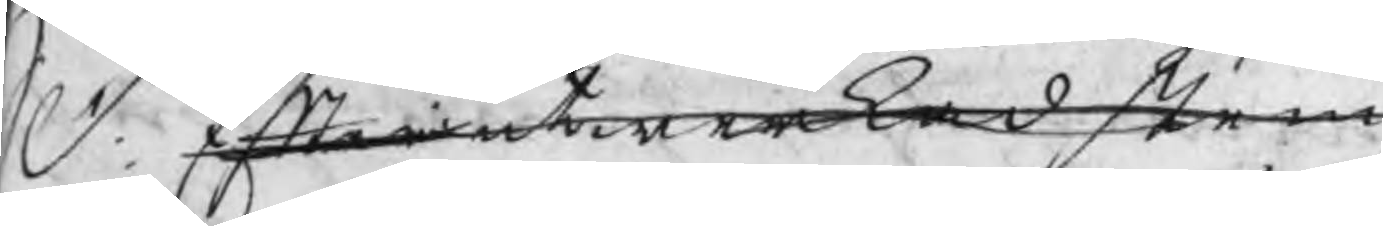S. d. Efter utwerkad stem
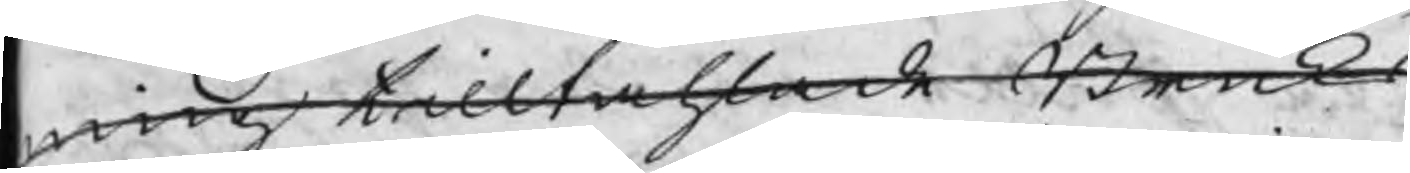ning tilltahlade Bruks
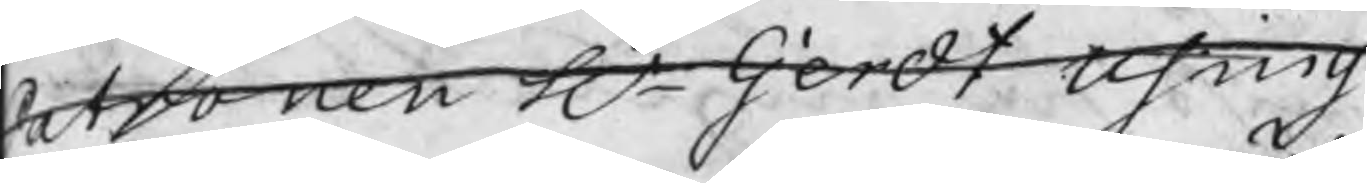Patronen Hr Gerdt Using
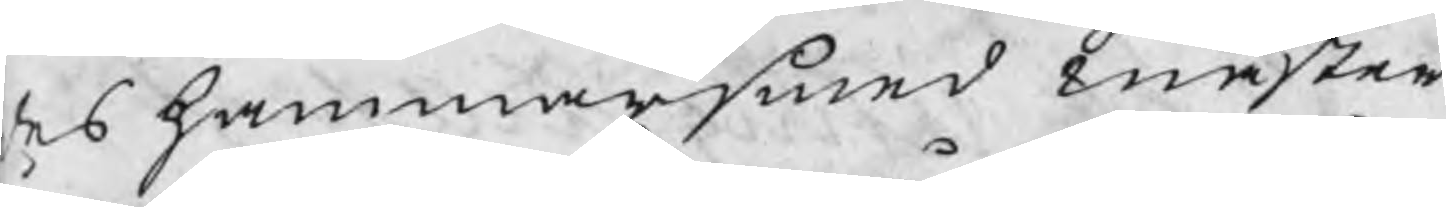des hammarsmed mäster
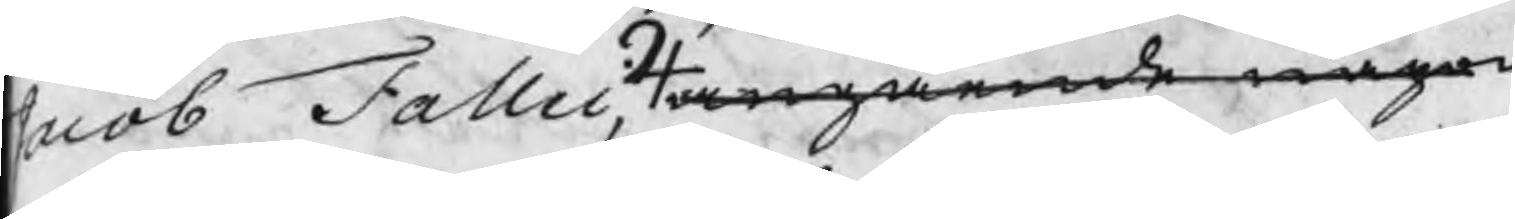Jacob Fallei, angående någon
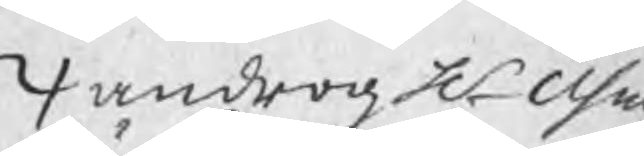androg H Using
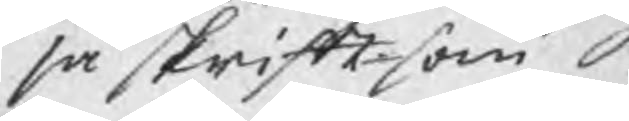så skrift. som
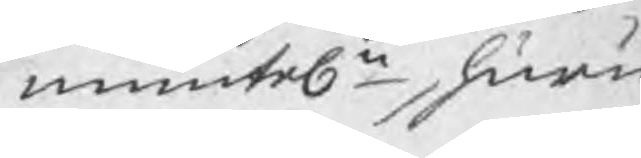muntel., huru¬
